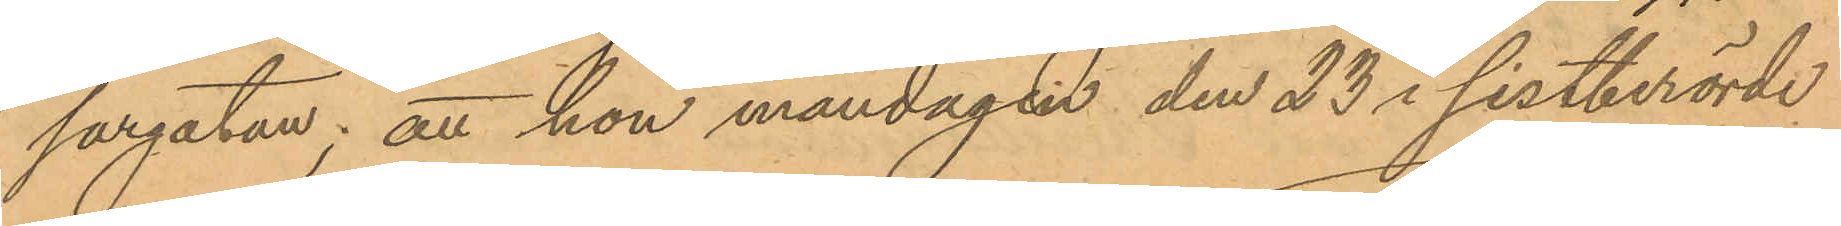sargatan; att hon måndagen den 23 i sistberörde
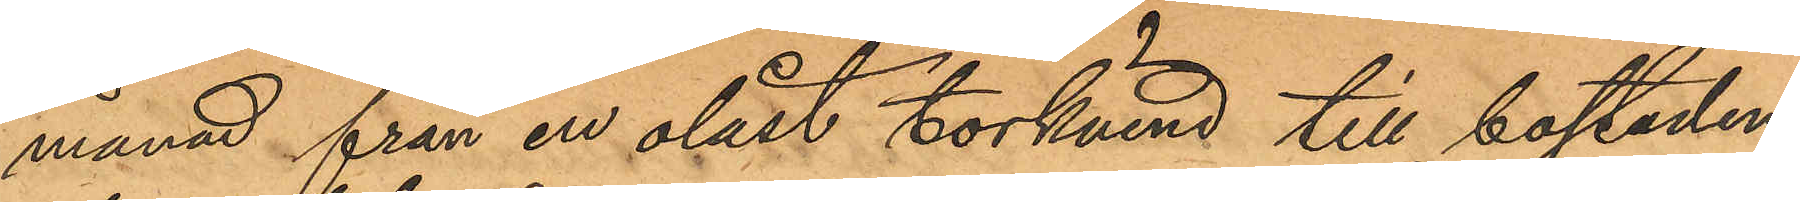månad från en olåst torkvind till bostaden
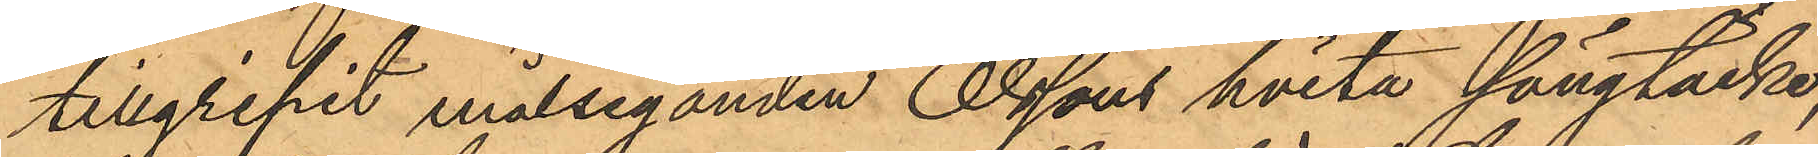tillgripit målseganden Olssons hvita sängtäcke,
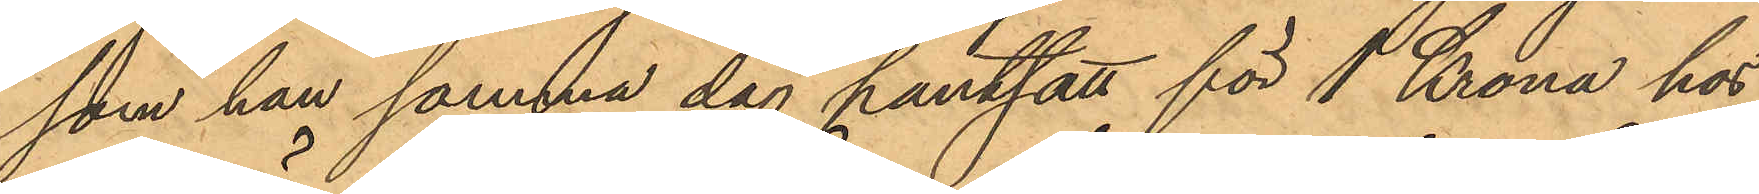som han samma dag pantsatt för 1 Krona hos
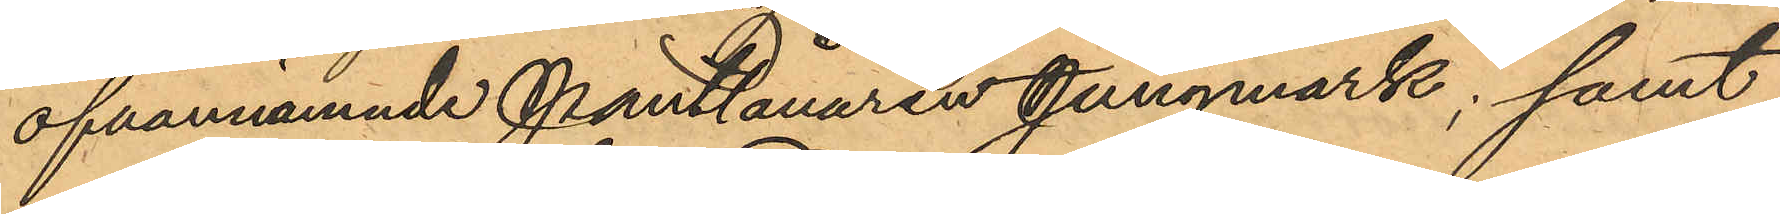ofvannämnde Pantlånaren Jungmark; samt
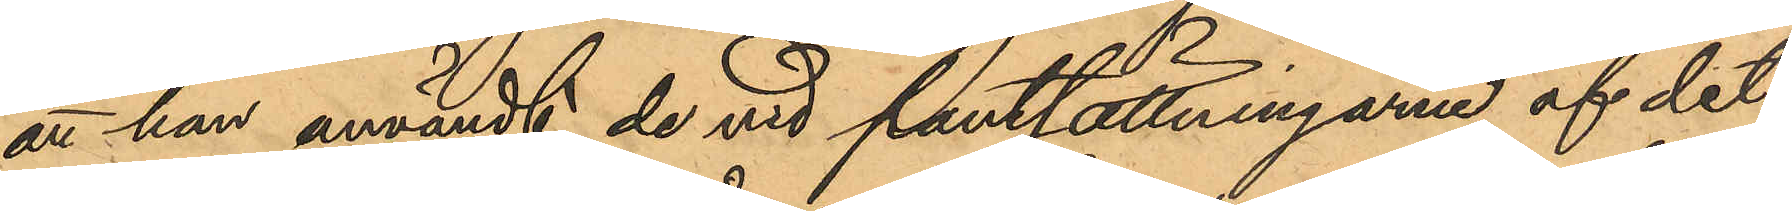att han användt de vid pantsättningarne af det
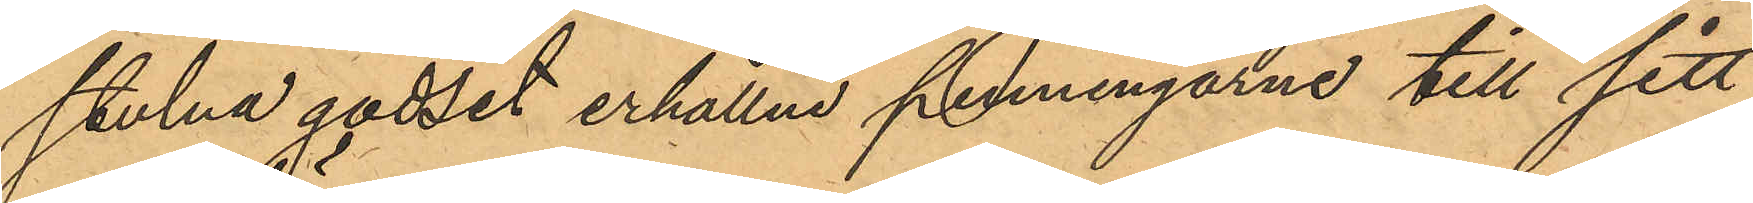stulna godset erhållne penningarne till sitt
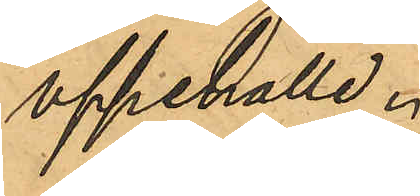uppehälle.
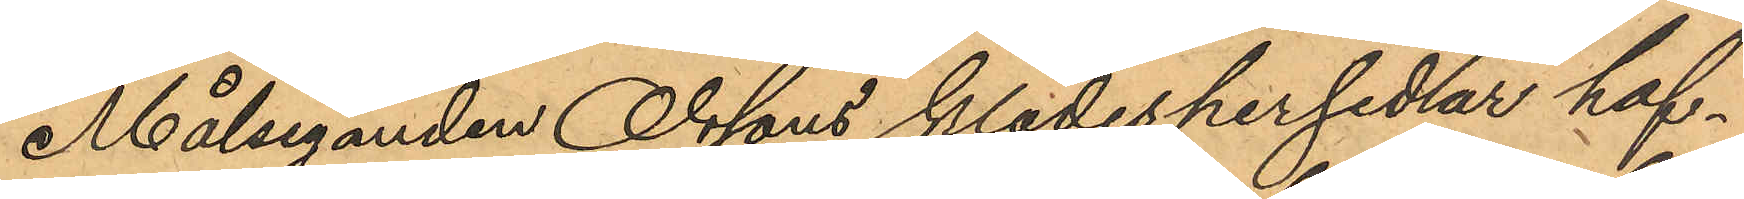Målseganden Olssons klädespersedlar haf¬
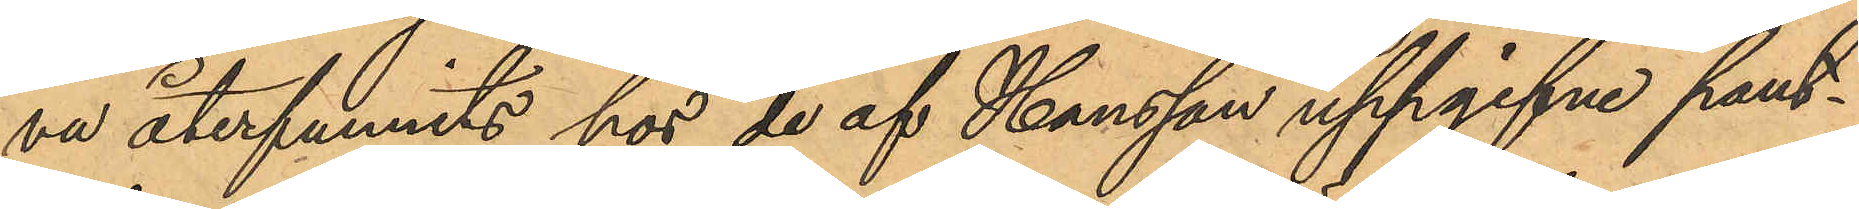va återfunnits hos de af Hansson uppgifne pant¬
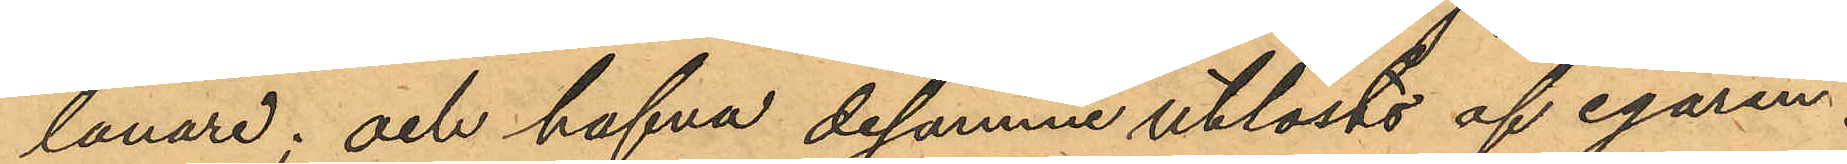lånare; och hafva desamme utlösts af egaren.
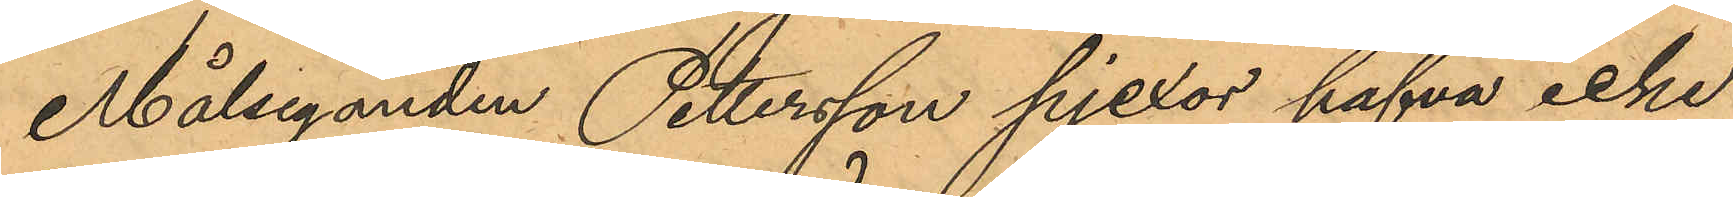Målseganden Pettersson pjexor hafva icke
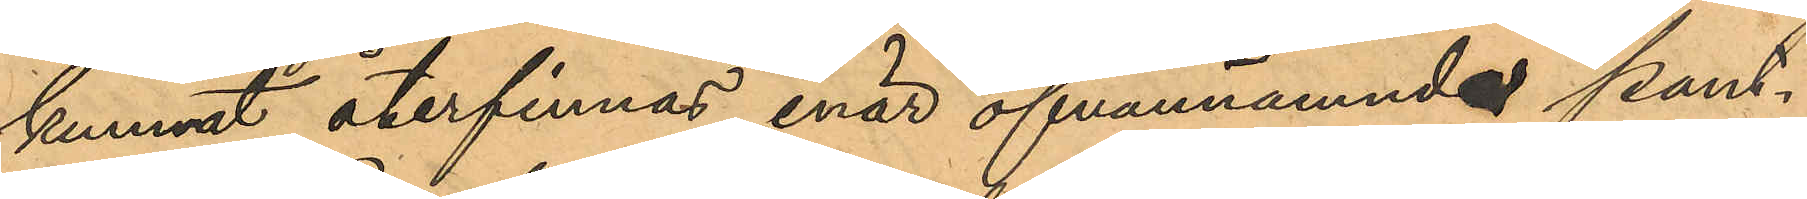kunnat återfinnas, enär ofvannämnde pant¬
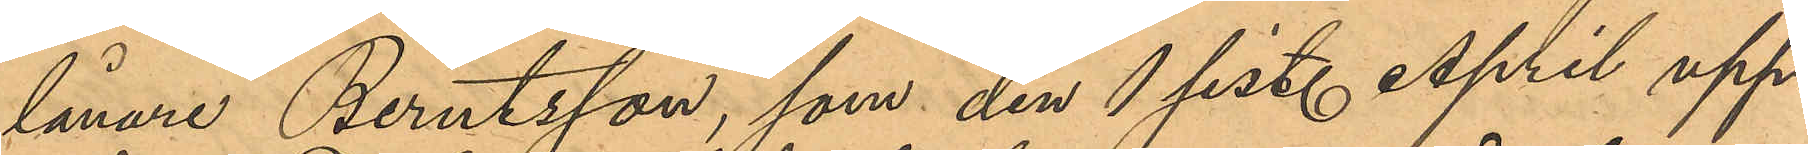lånare Berntsson, som den 1 sist. April upp¬
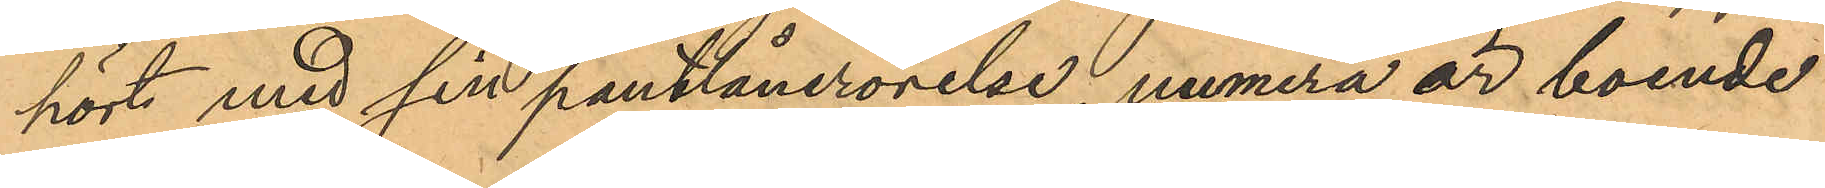hört med sin pantlånerörelse, numera är boende
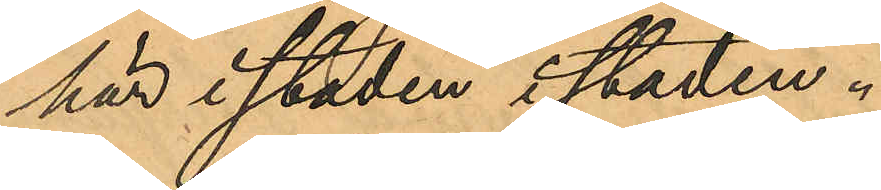här i staden i staden.
